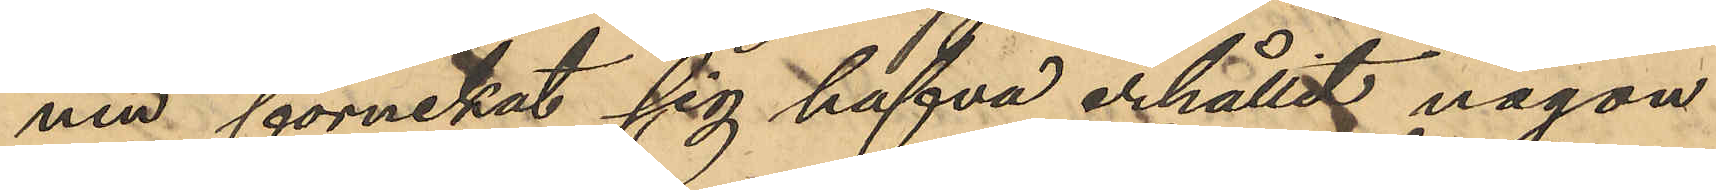nen förnekat sig hafva erhållit någon
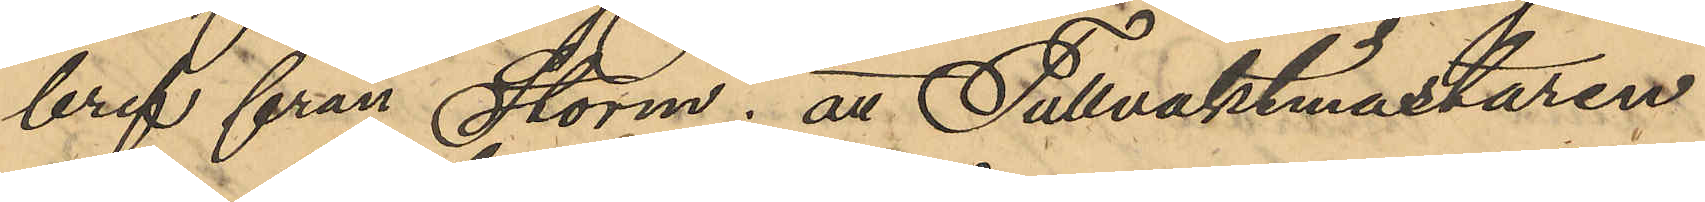bref från Storm; att Tullvaktmästaren
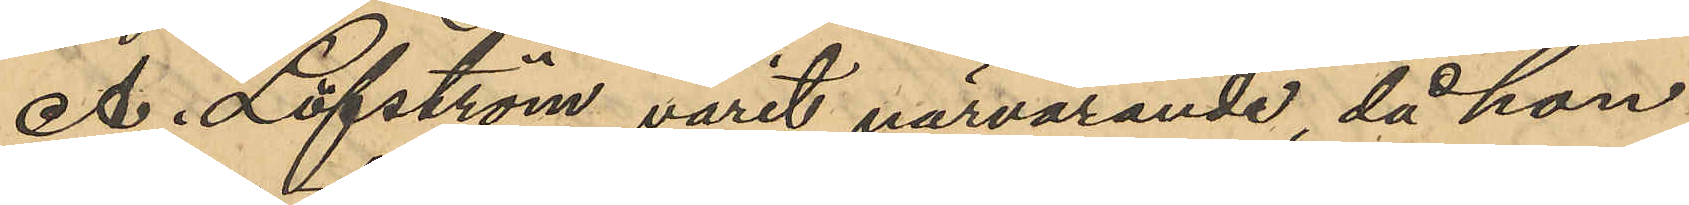A. Löfström varit närvarande då han
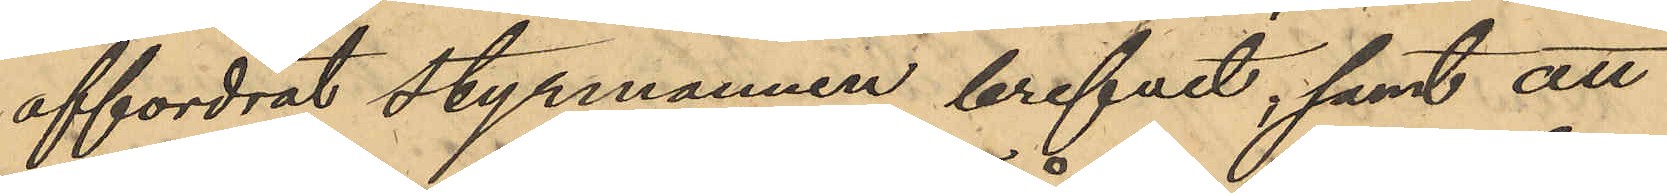affordrat styrmannen brefvet; samt att
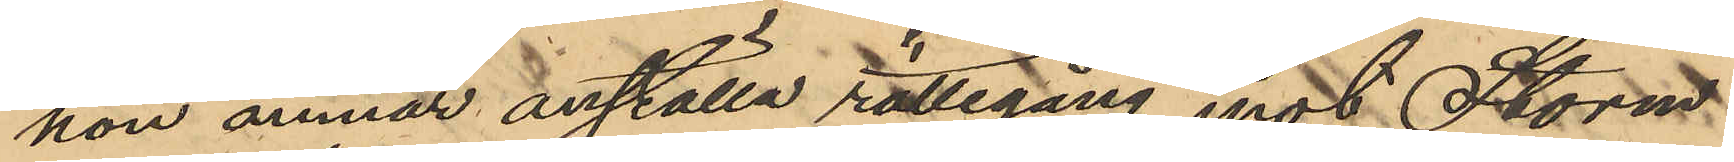hon ämnar anställa rättegång mot Storm
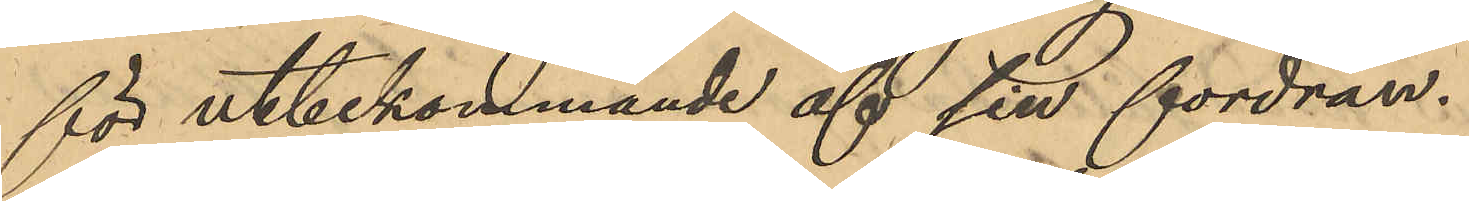för utbekommande af sin fordran.
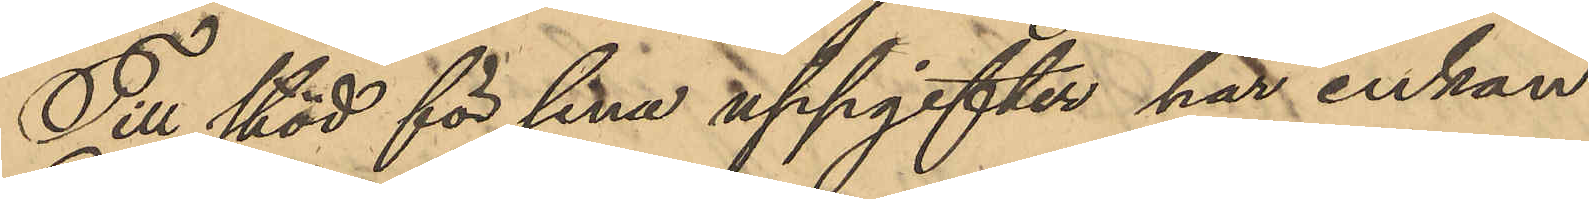Till stöd för sina uppgifter har enkan
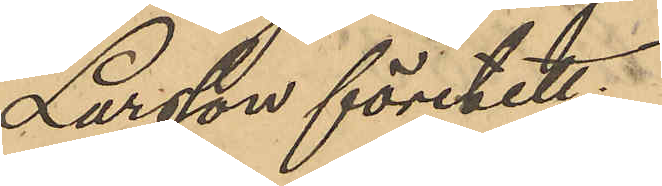Larsson företett:
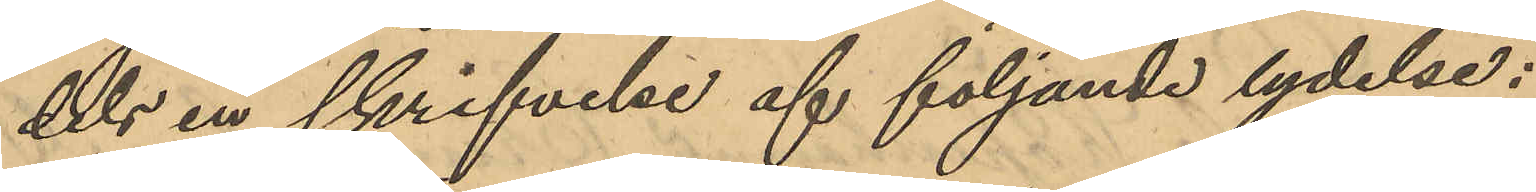dels en skrifvelse af följande lydelse:
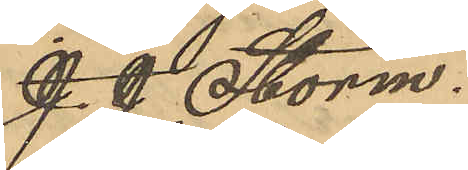J. J. Storm.
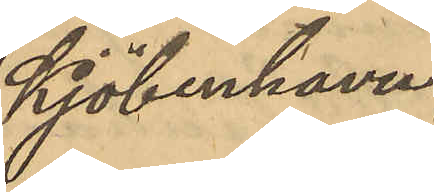Kjöbenhavn
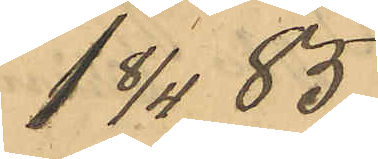1 8/4 85
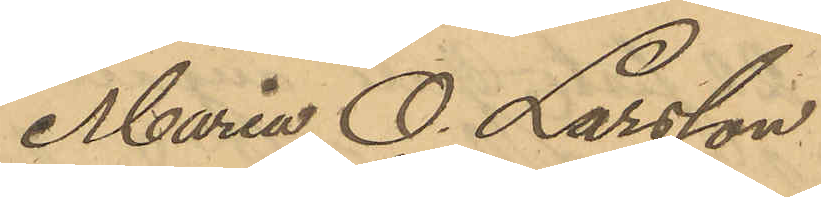Maria O. Larsson
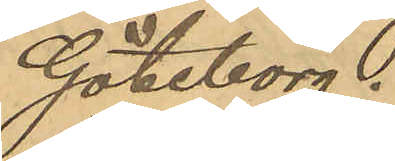Göteborg.
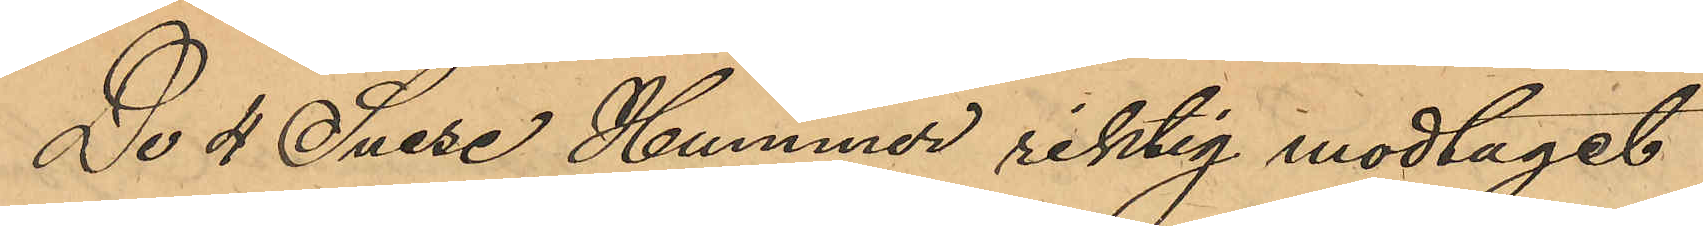De 4 Snese Hummer riktig modtaget
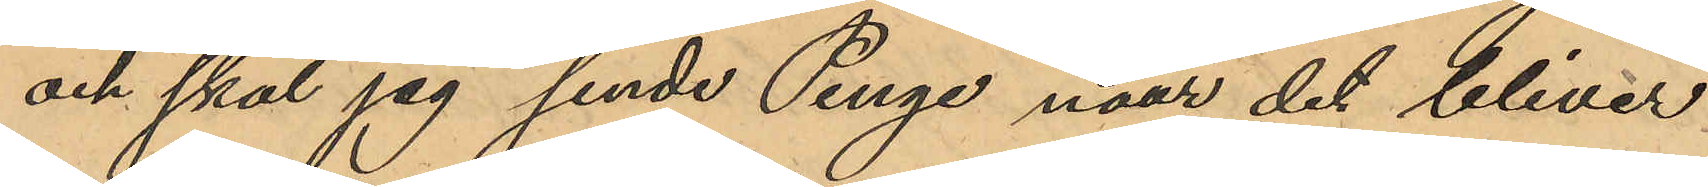och skal jag sende Penge naar det bliver
